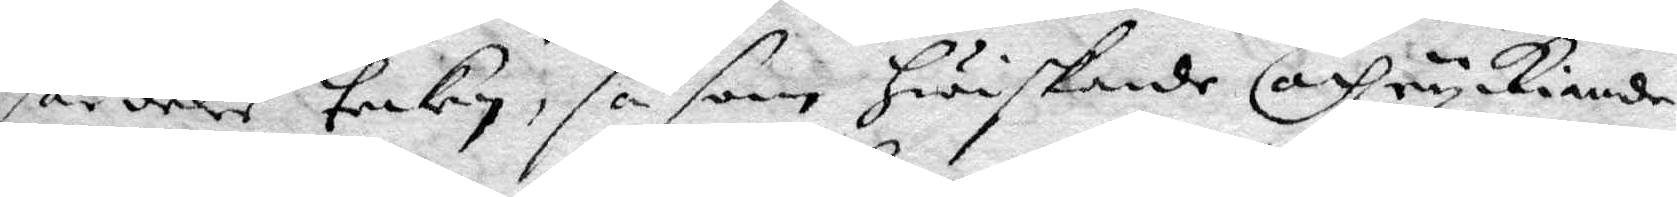särdles tecken, såsom hwiskande och ryckiande
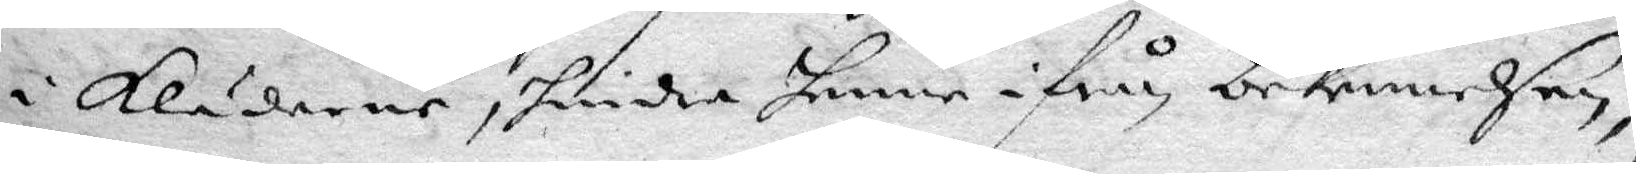i Kläderne, hindra henne ifrån bekennelsen
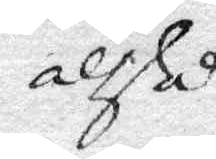altså
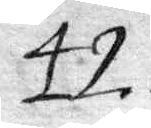42.
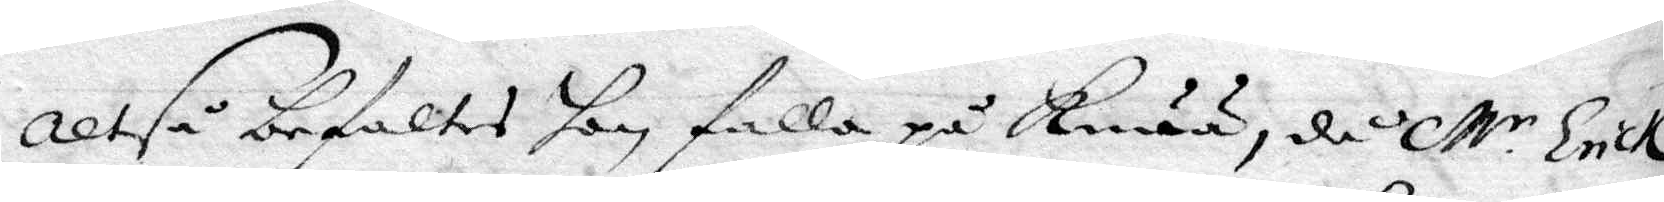Altså befaltes hon falla på Knää, då M.r Erick¬ 
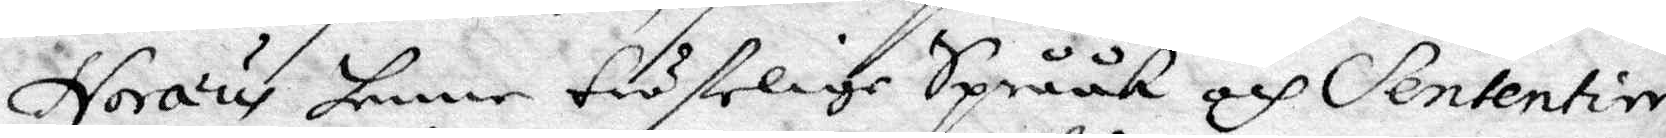Noræus henne tröstelige Språk och Sententier
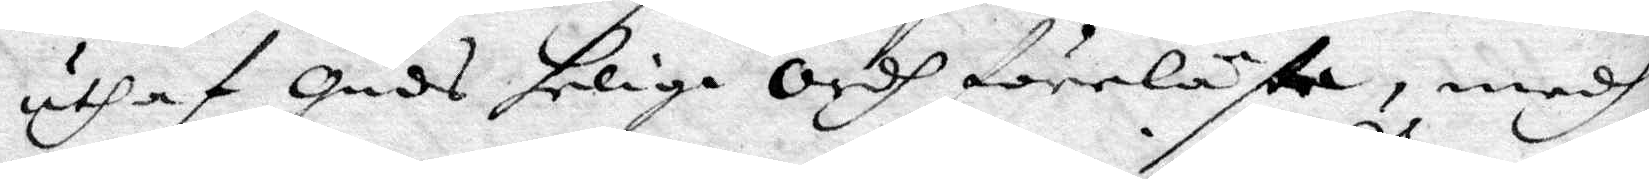uthaf Guds helige Ordh föreläste, medh
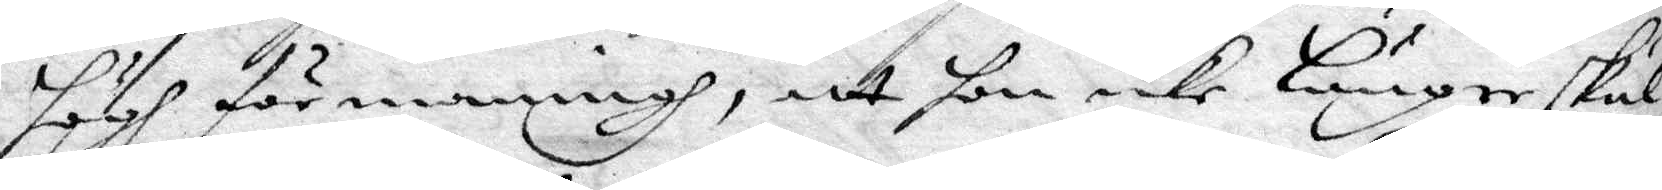högh förmaningh, att hon icke längre skul¬
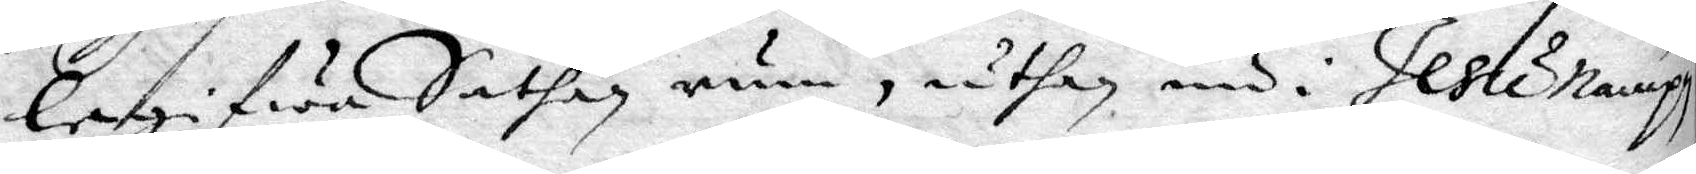begifwa Sathan rum, uthan nu i Jesu namph
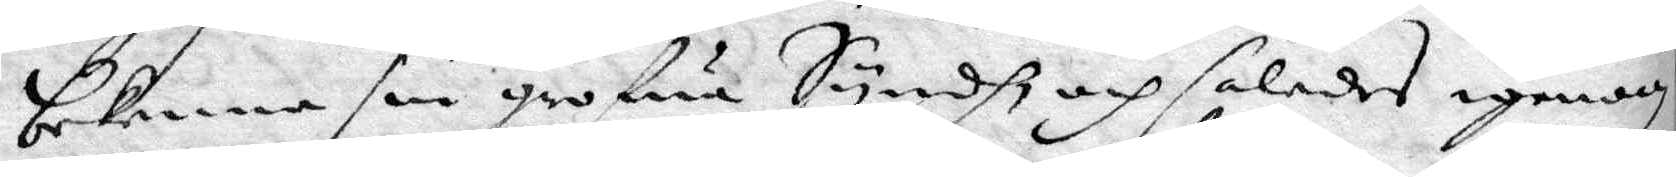bekenna sin grofwa Syndh och således igenom
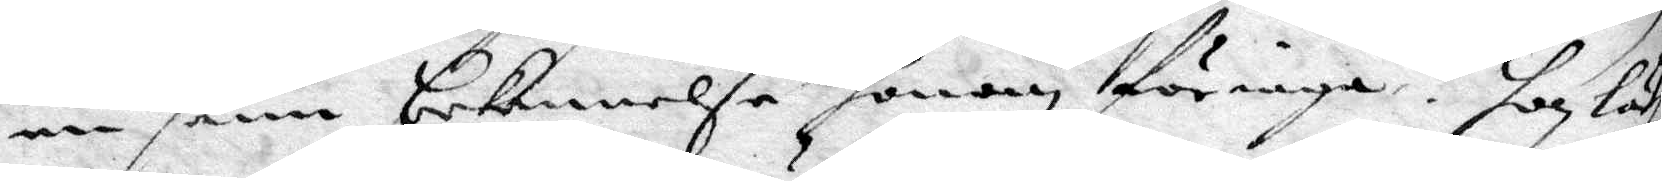en sann bekennelse honom förriga, hon lä¬
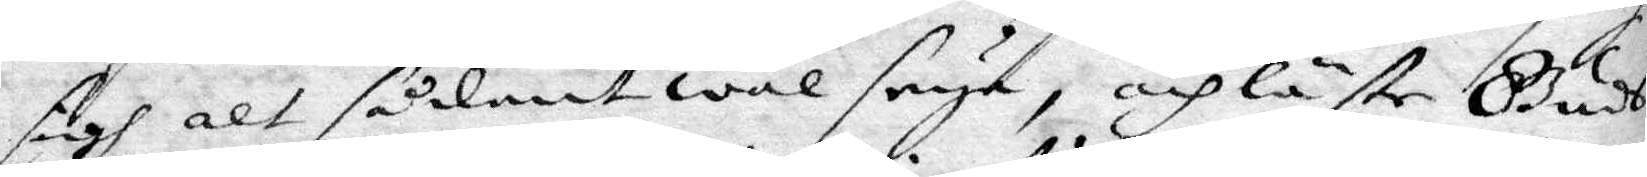sigh alt sådant wäl seya, och läste Gudh¬
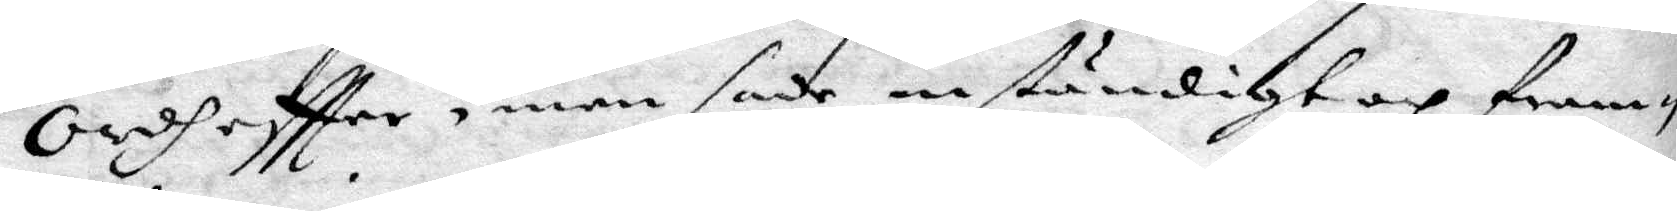ordh eftter, men sade inständigt och fram¬
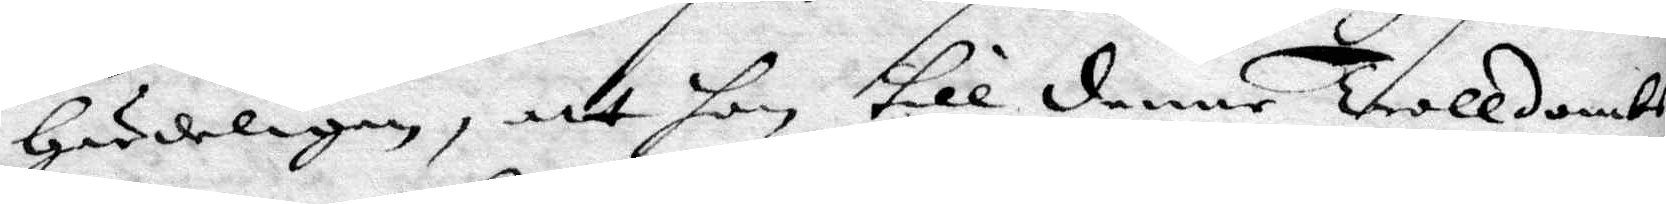härdeligen, att hon till denne Trolldoms¬
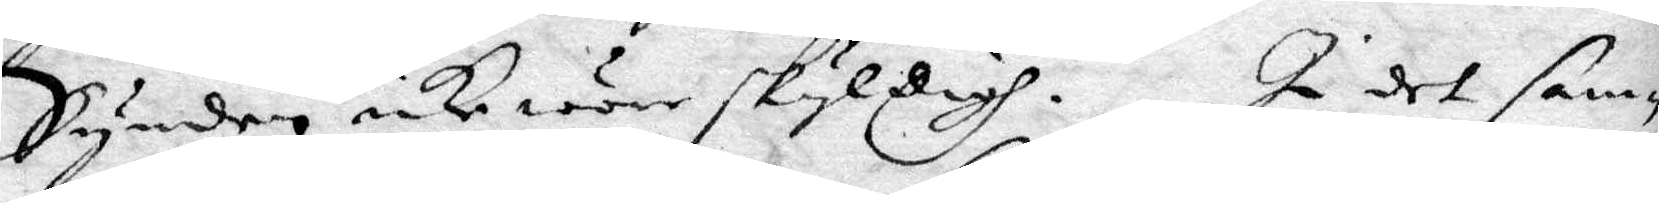Synden icke wore skyldigh. i det sam¬
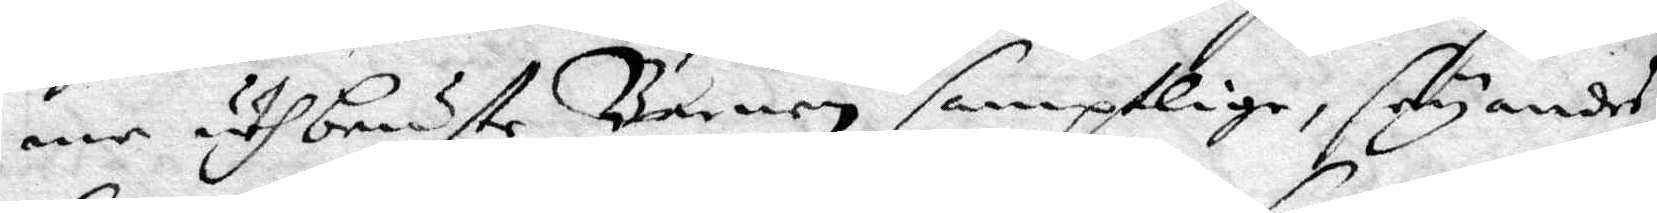ne uthbrute Barnen samptlige, seyandes
